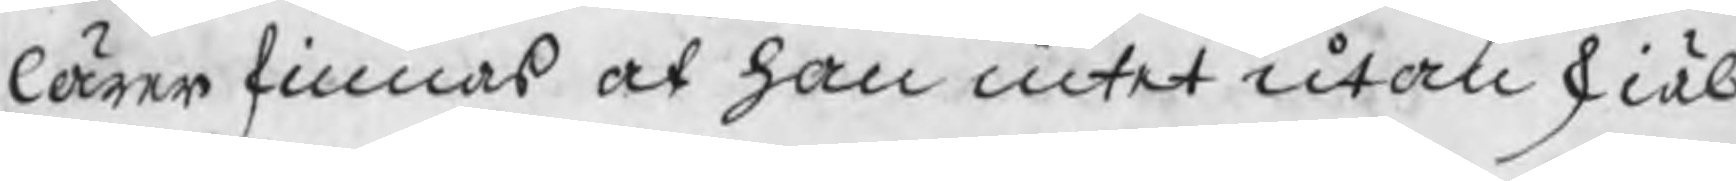lärer finnas at han intet utan skiäl
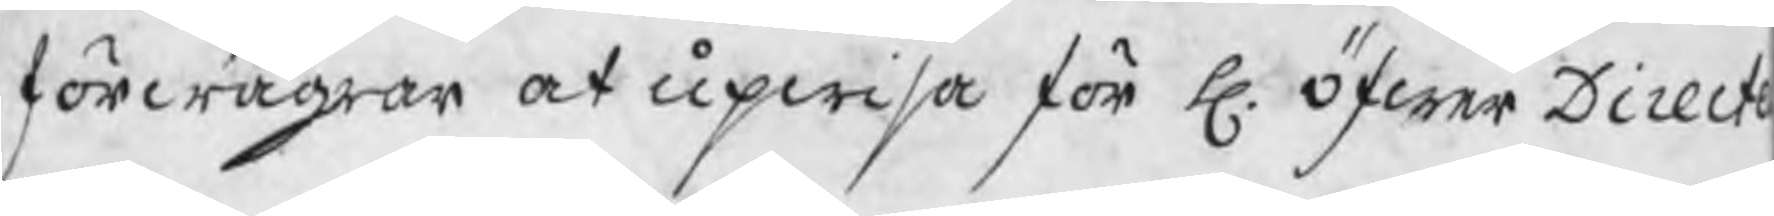förwägrar at upwisa för H. ÖfwerDirect
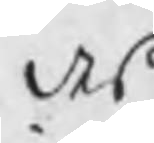des
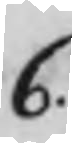6.
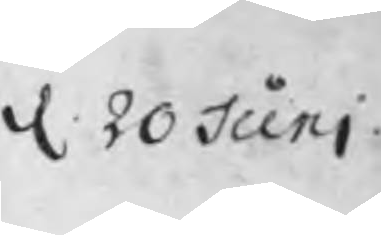d. 20 Juni
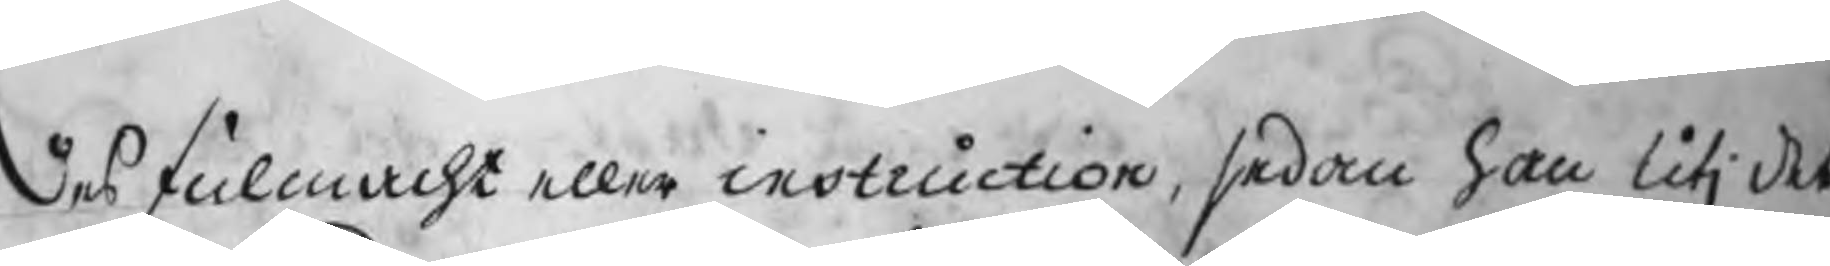des fulmacht eller instruction, sedan han utj det
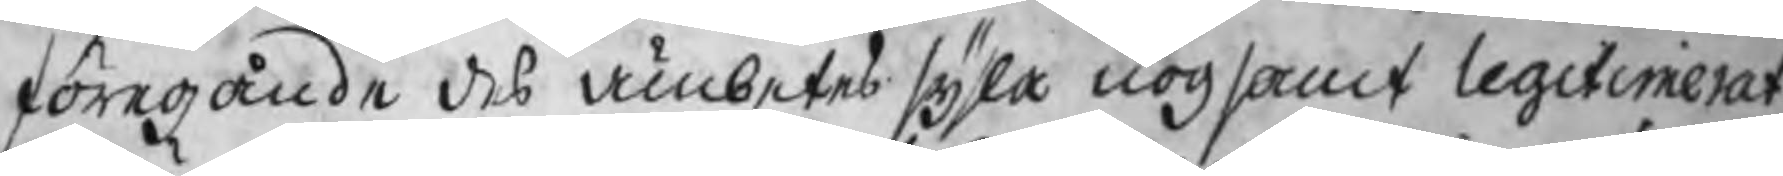föregånde des ämbetes sysla nogsamt legitimerat
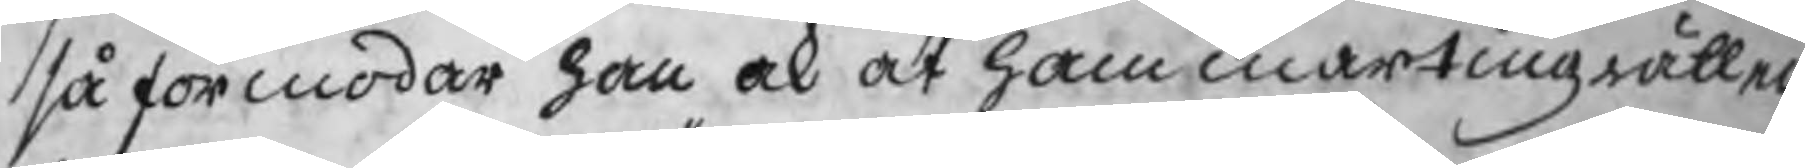så förmodar han ock at hammartingz rätten
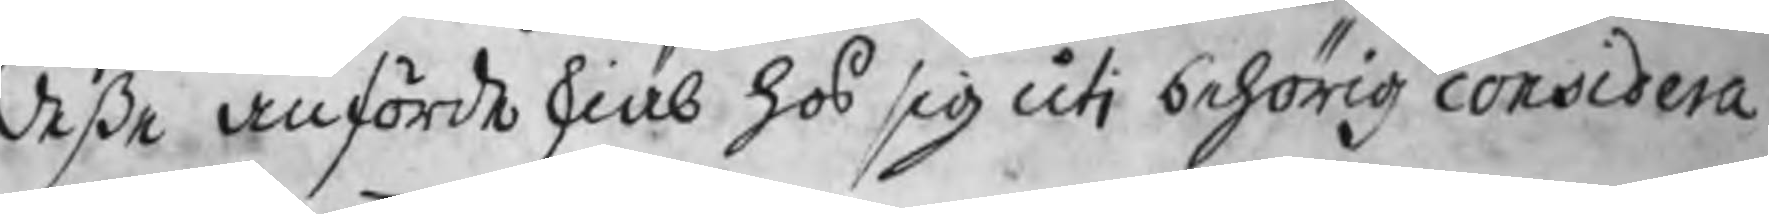desse anförde skiäl hos sig uti behörig considera¬
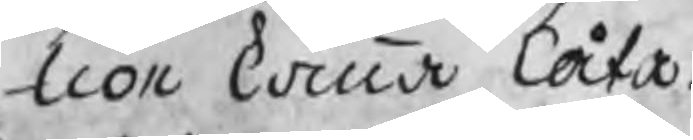tion komma låta.
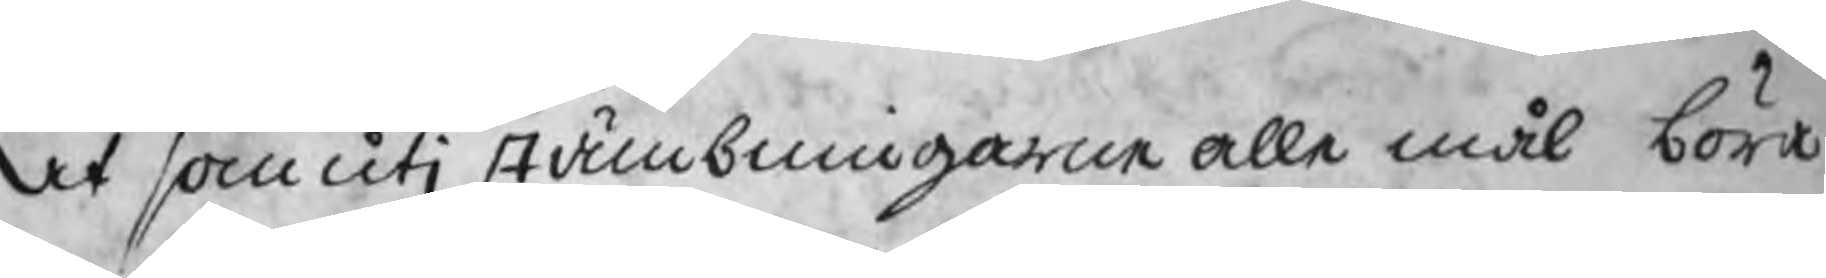Det som uti stämbningarne alle mål böra
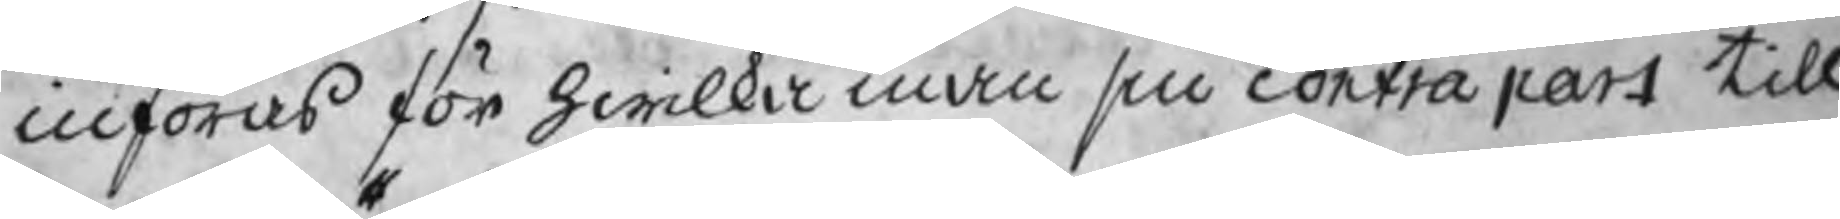införas för hwilka man sin contra part till
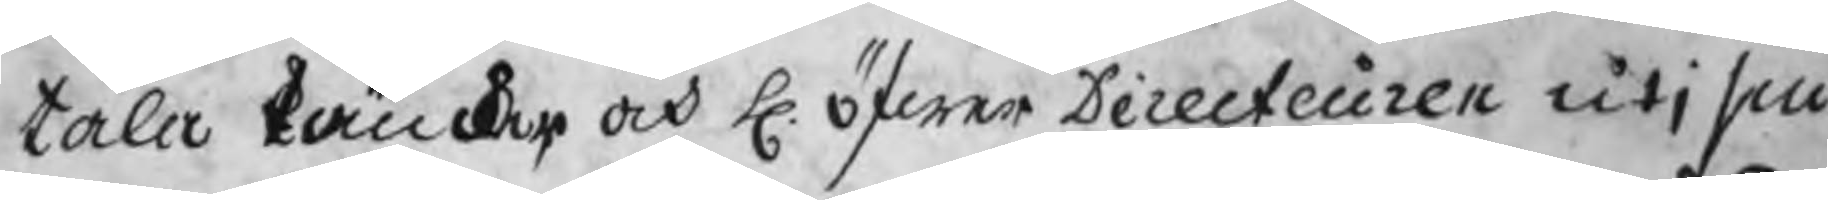tala tänker, och H. öfwer Directeuren utj sin
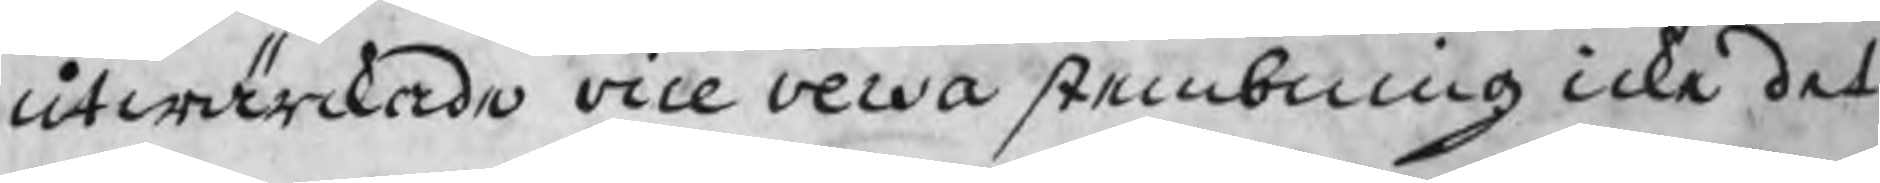utwärckade vice versa stembning icke det
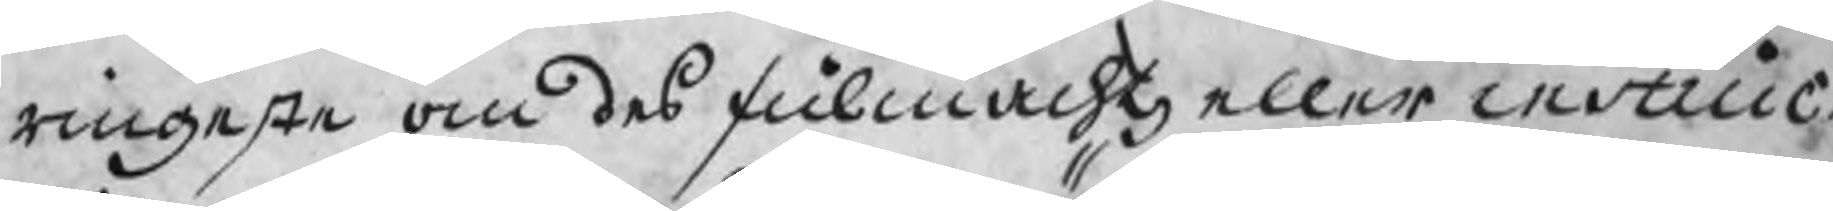ringaste om des fulmachts eller instruc
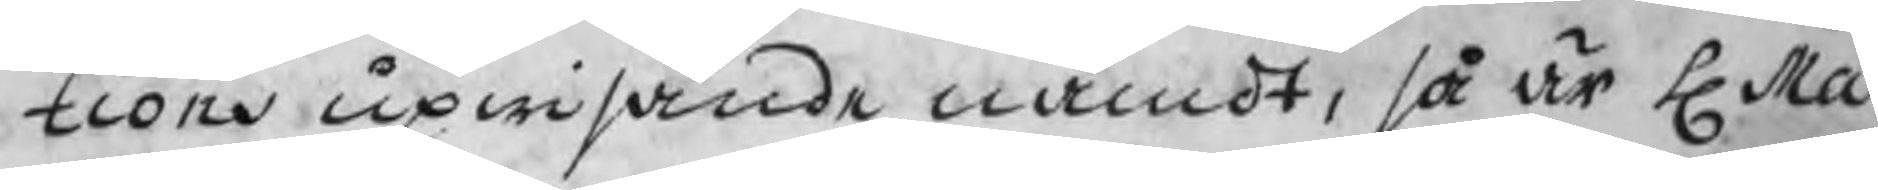tions upwisande nämdt, så är H. Ma:
